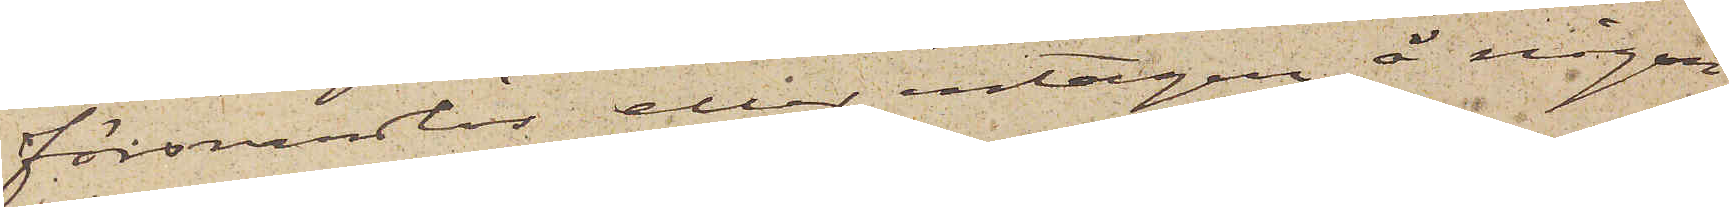försvarslös eller intagen å någon
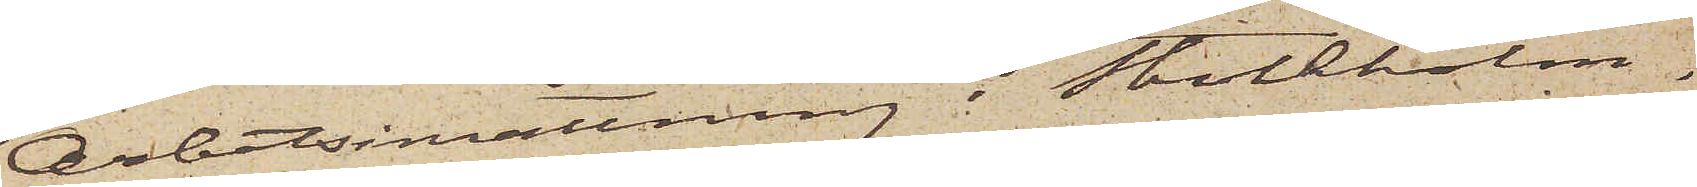Arbetsinrättning i Stockholm.
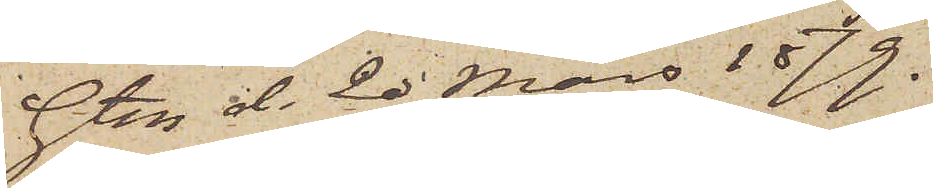Gtbg d. 20 Mars 1879.
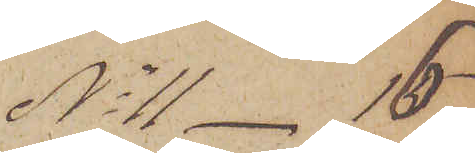No 11 - 16
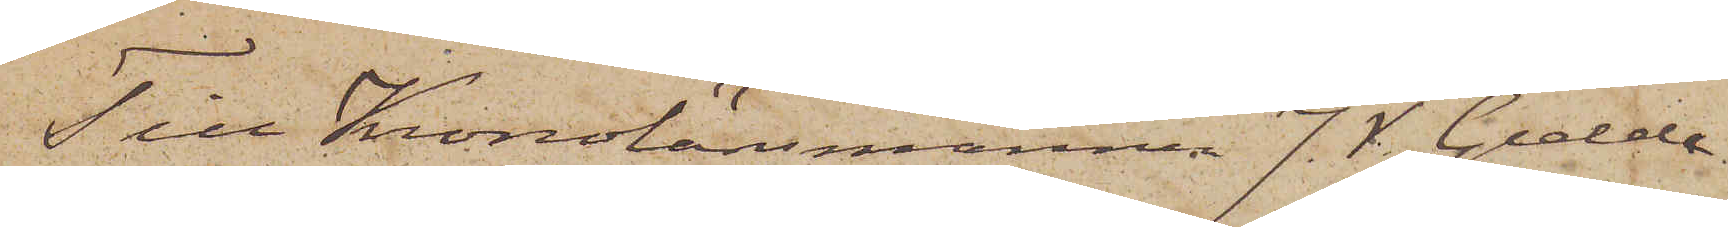Till Kronolänsmannen J.V. Gedda
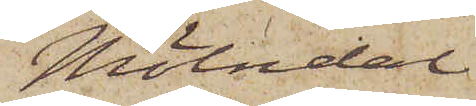Mölndal
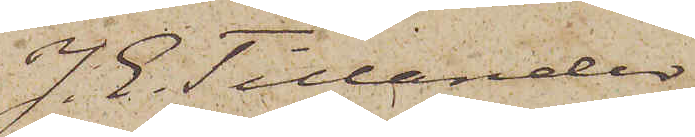J. E. Tillander
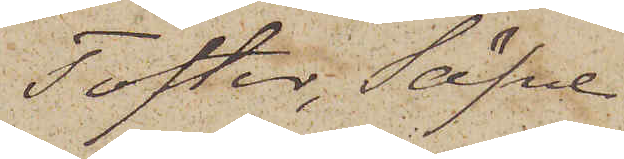Tofter, Säfve
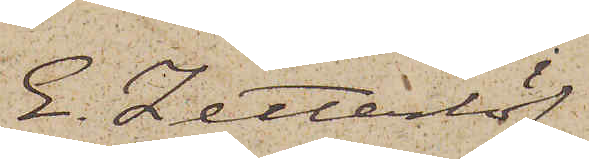E. Zetterlöf
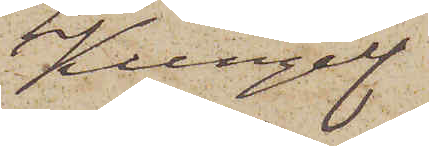Kungelf
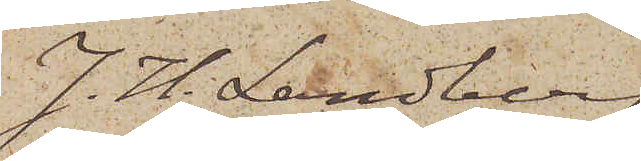J. H. Landberg
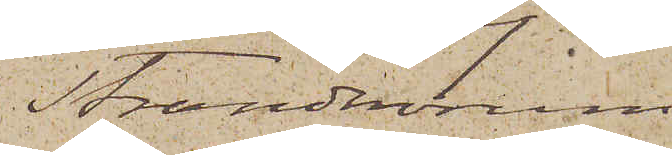Strandnorum
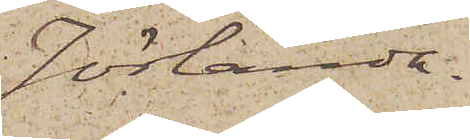Jörlanda.
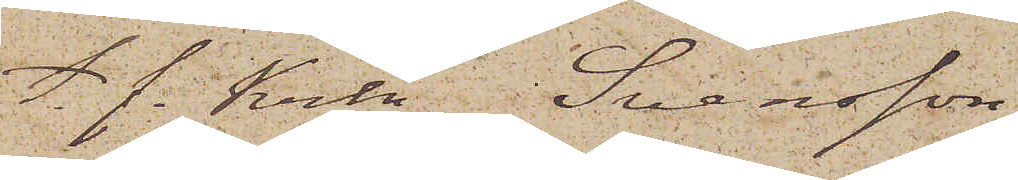t. f. Krln  Svensson
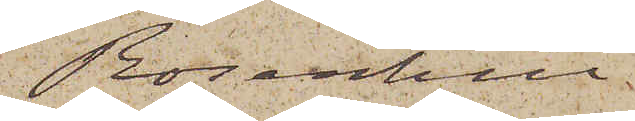Rosenhill.
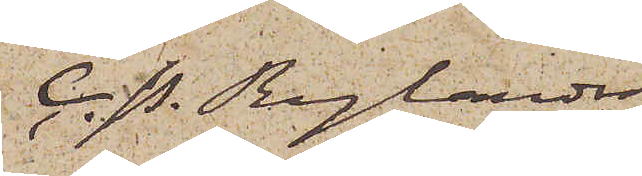C. P. Rylander
